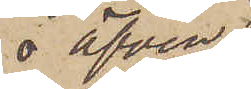 äfven
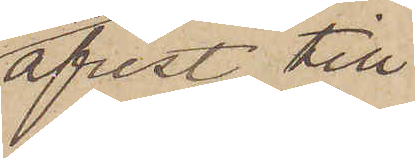afrest till
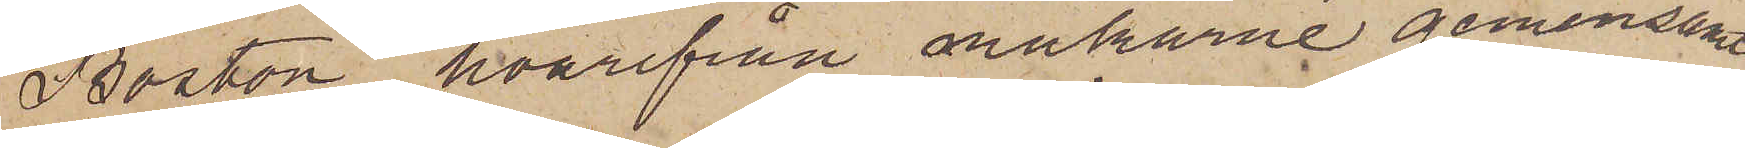Boston, hvarifrån makarne gemensamt
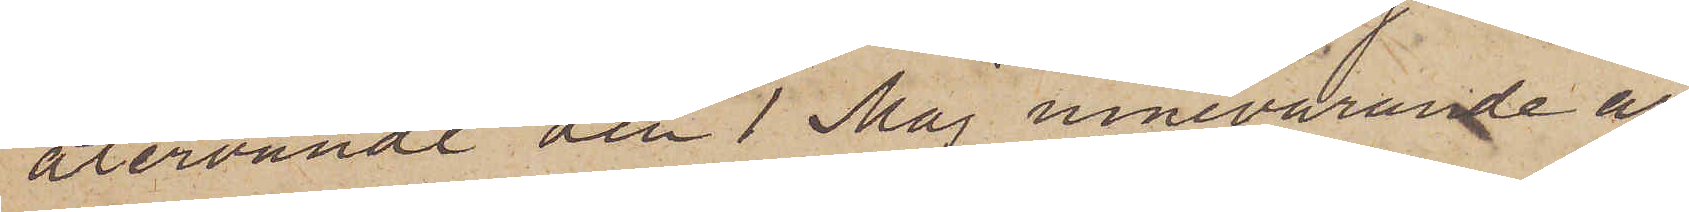återvändt den 1 Maj innevarande år,
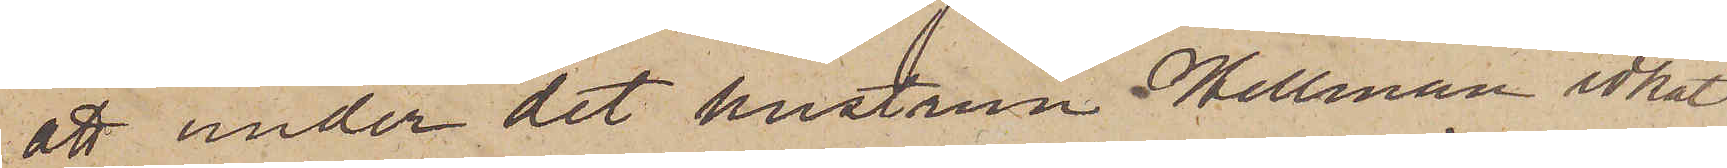att under det hustrun Hellman idkat
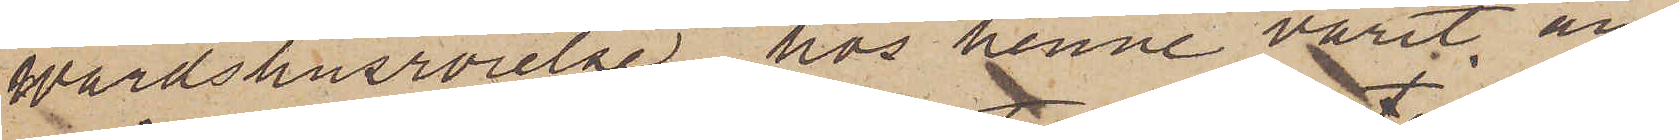Wärdshusrörelse, hos henne varit an¬
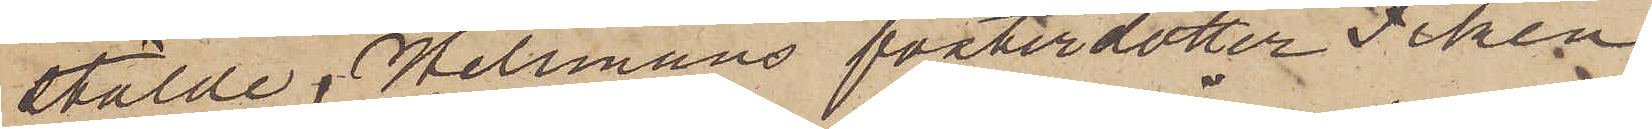stälde, Hellmans fosterdotter Fiken
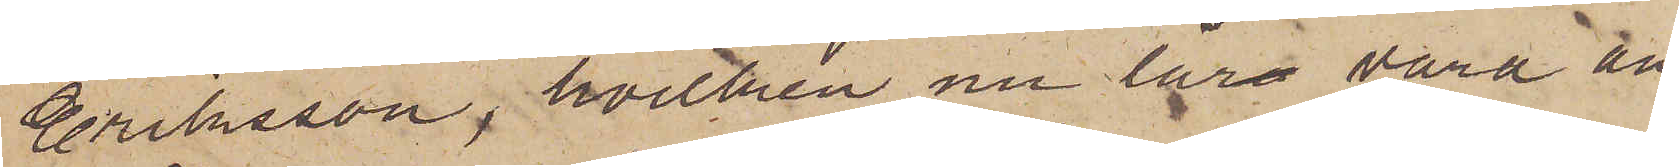Eriksson, hvilken nu lär vara an¬
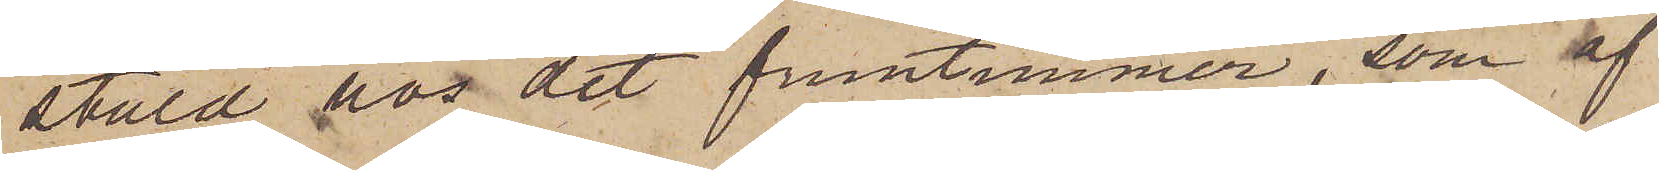stäld hos det fruntimmer, som af
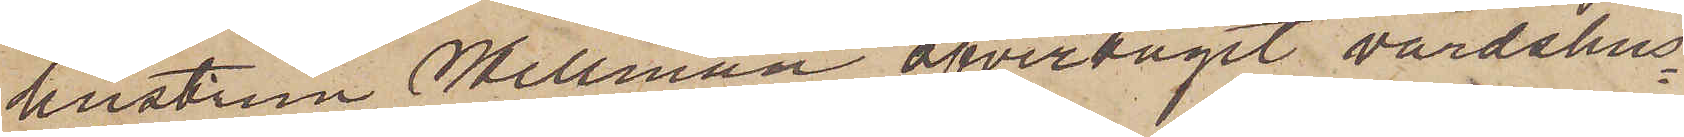hustrun Hellman öfvertagit värdshus¬
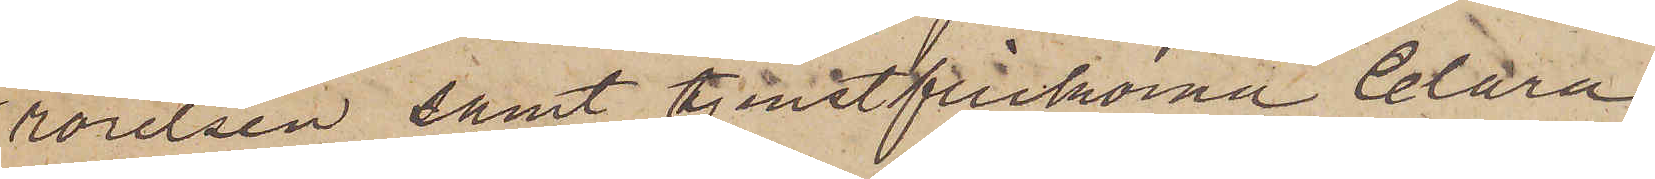rörelsen samt tjenstflickorna Clara,
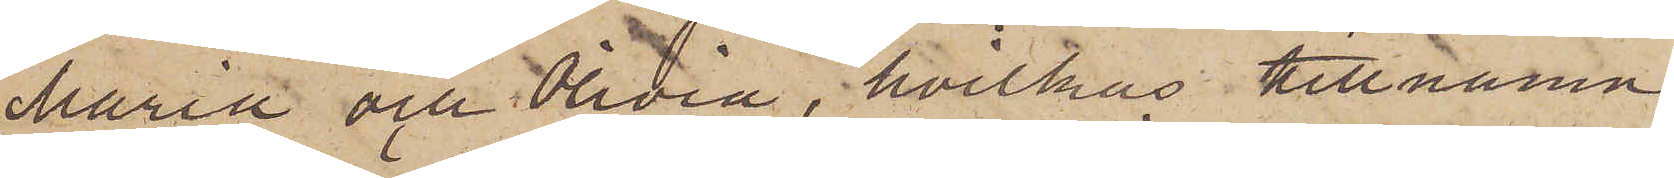Maria och Olivia, hvilkas tillnamn
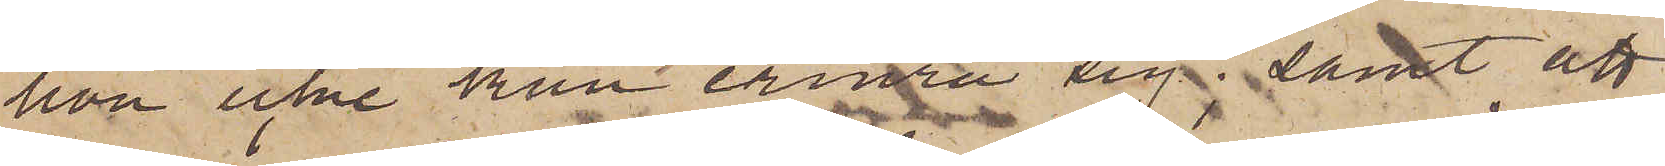hon icke kan erinra sig; samt att
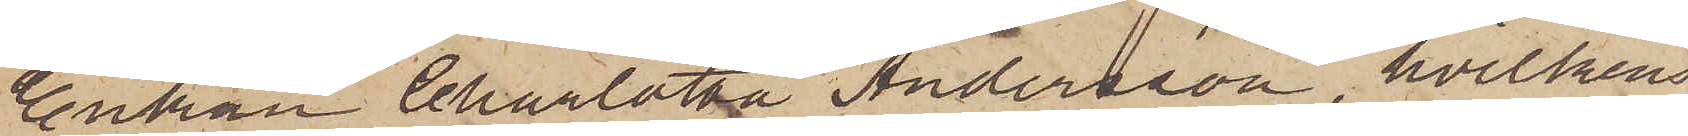Enkan Charlotta Andersson, hvilkens
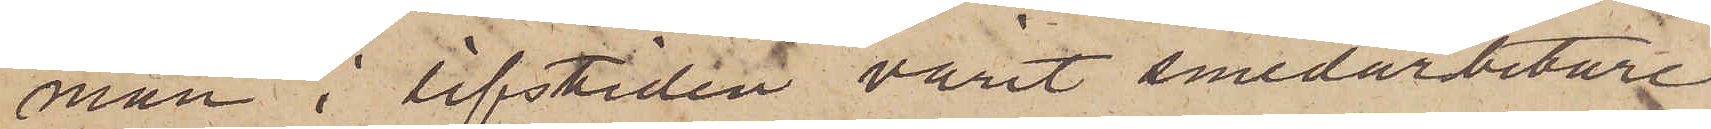man i lifstiden varit smedarbetare
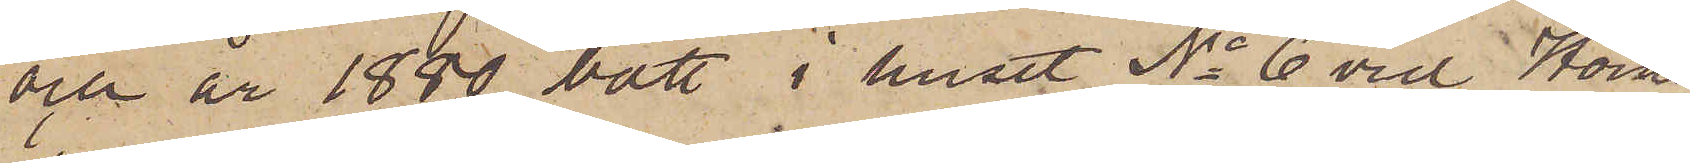och år 1880 bott i huset No 6 vid Horns¬
